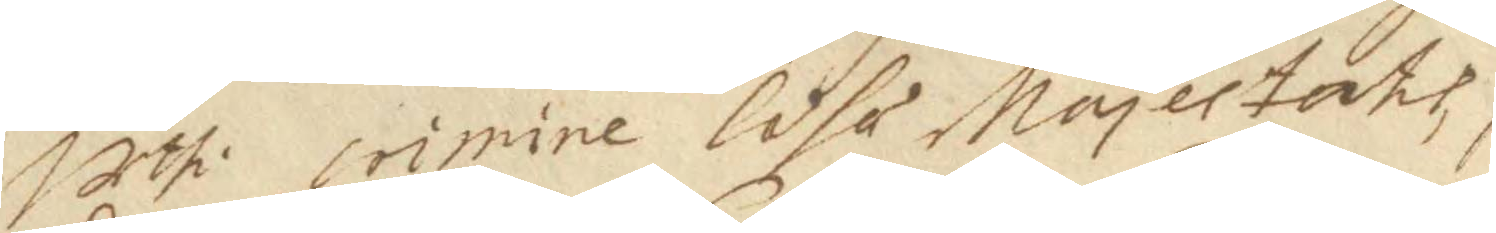uthi crimine läsä Majestath  
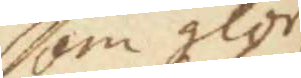som glor
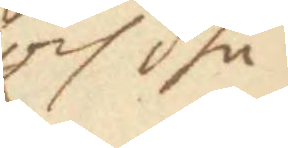och dhe
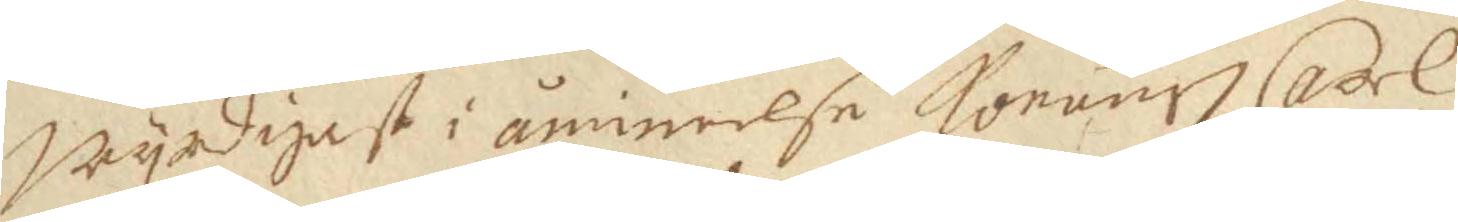Wyrdigast i åmineelse Konung Carll
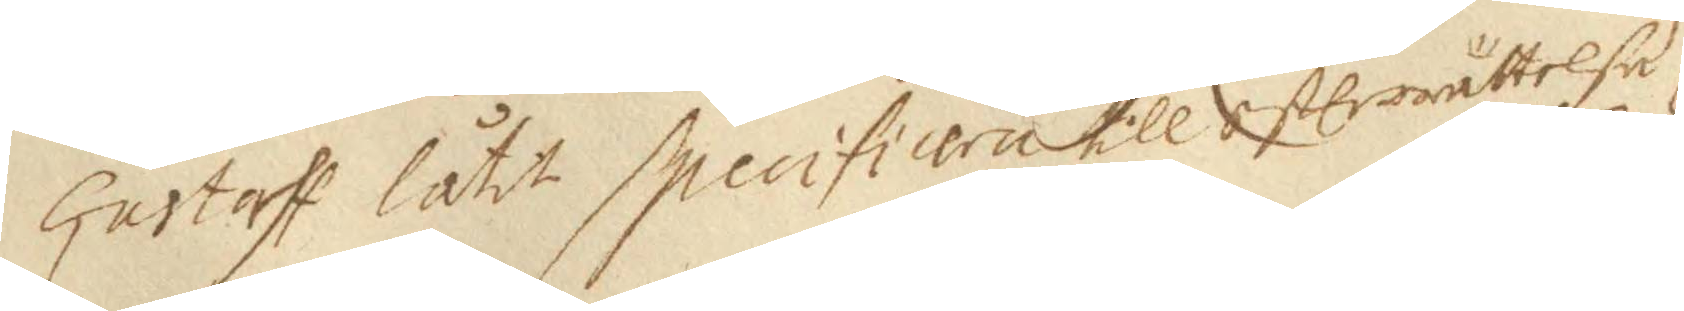Gustaff låtit specifiera till efterrättelse
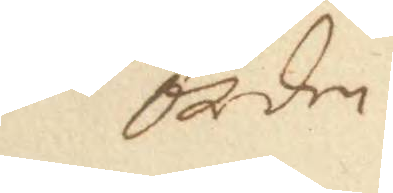orden
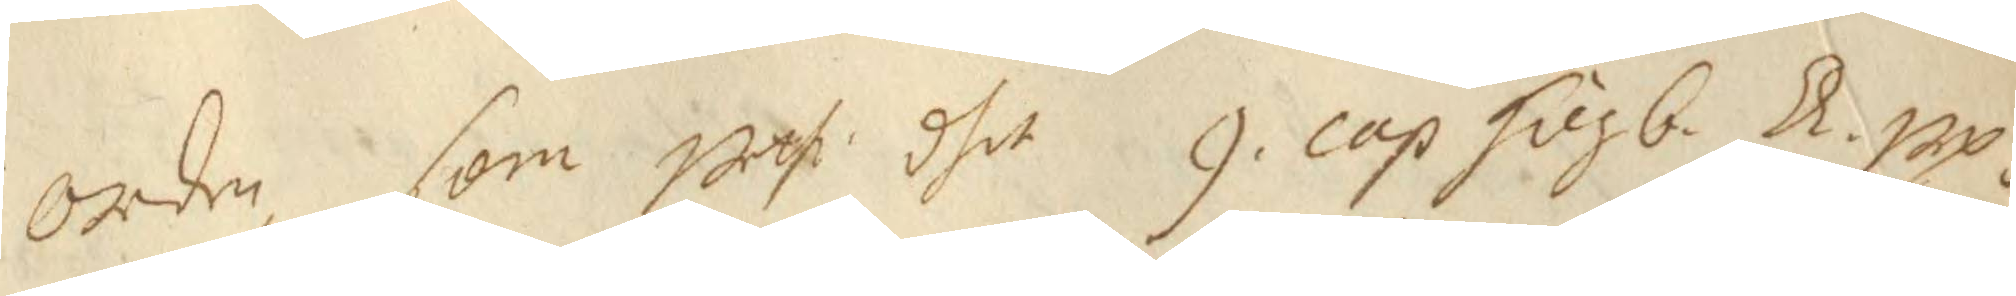orden, som uthi dhet 9 cap Högb. Ll up¬ 
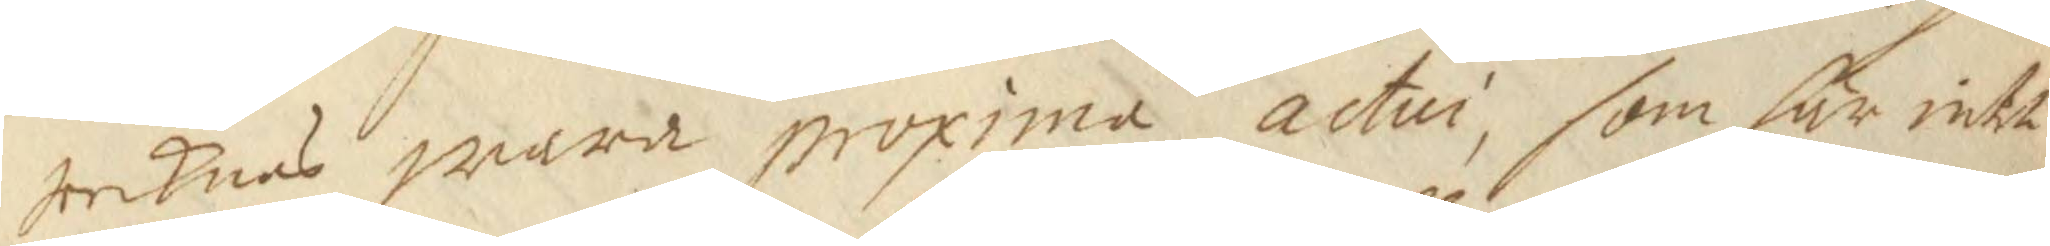tecknas wara proxima actur, som här intet
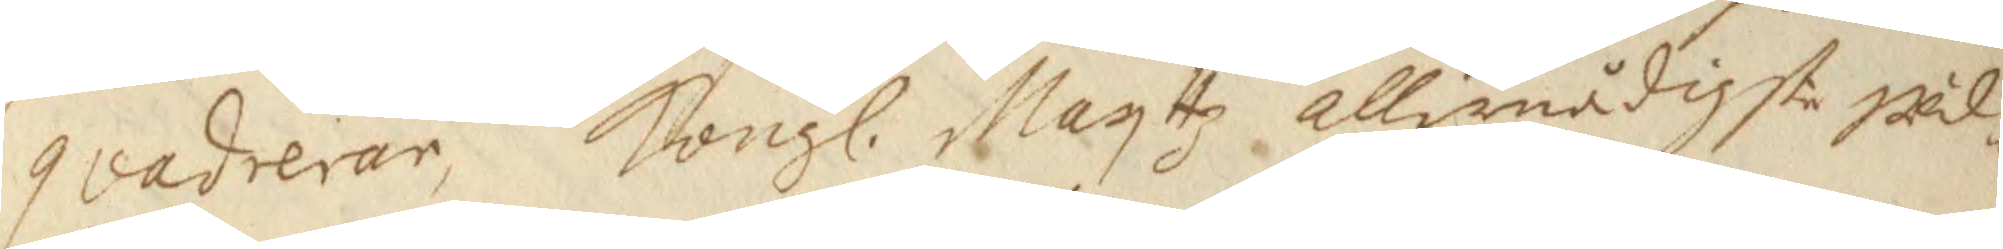qvadrerar, Kongl. Mayttz allernådigste wäl¬ 
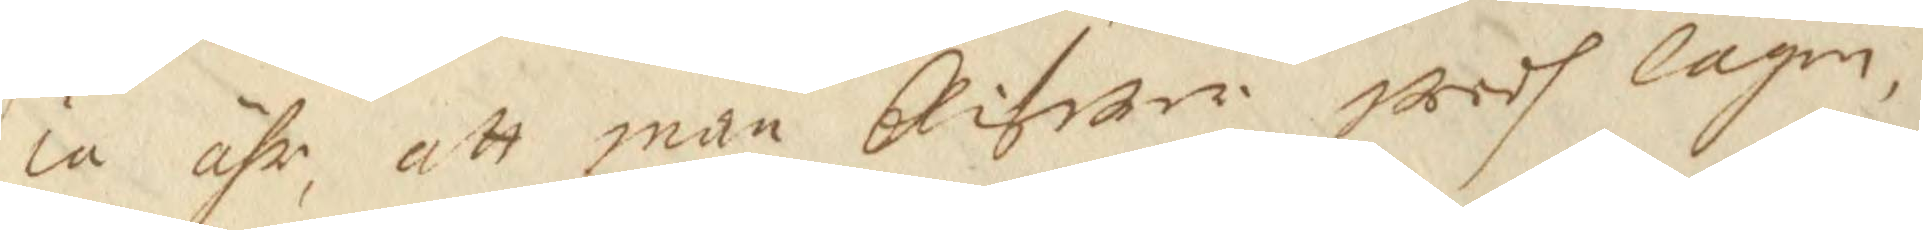ia ähr, att man blifwer wedh lagen,
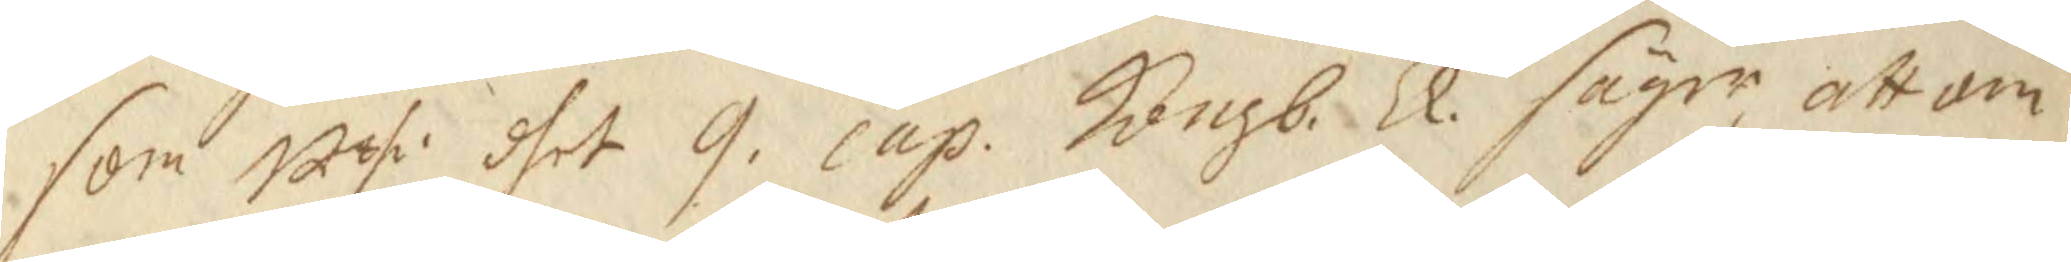som uthi dhet 9 cap. Kongb: Ll. säger att om 
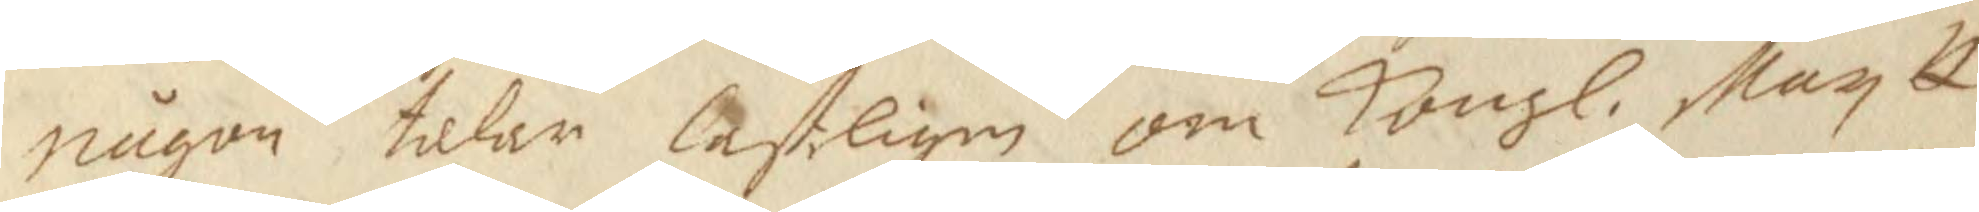någon talar lastligen om Kongl. May tt
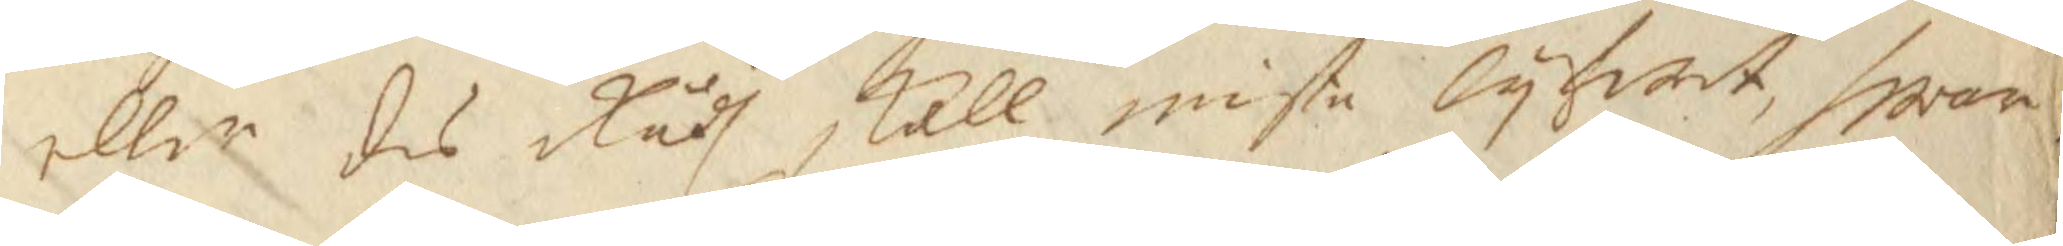eller des Rådh skall miste lyfwit, hwar
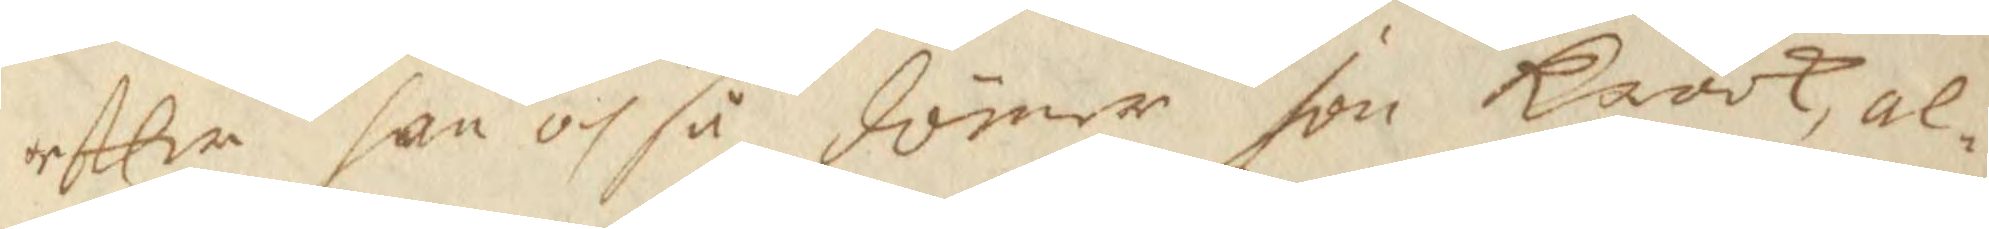efter han och så dömer Jon Krook, al¬
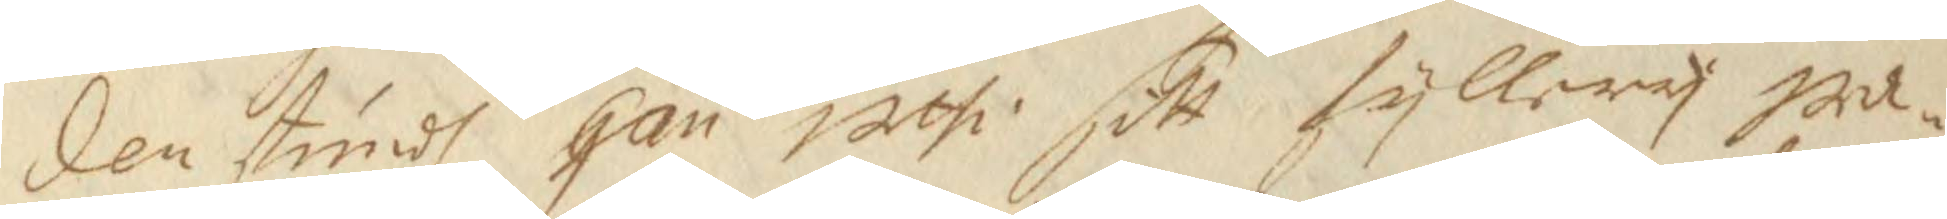den stundh han uthi sitt fyllery wa¬
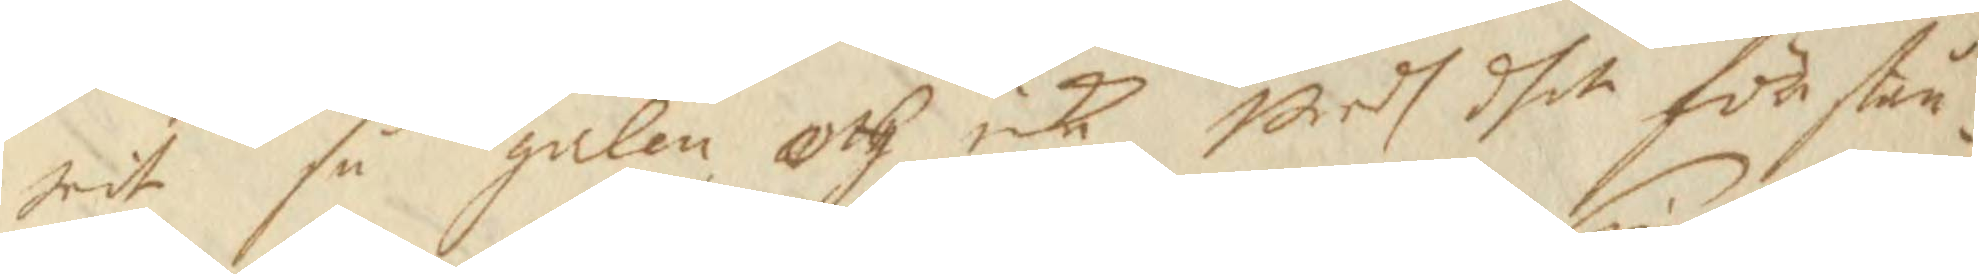rit så galen och icke weds dhet förstån¬
